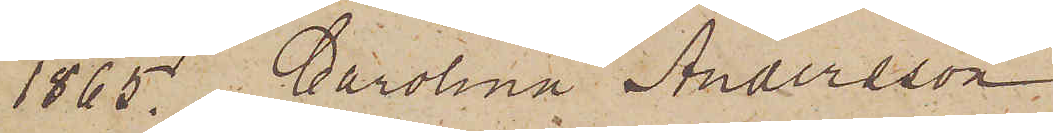1865. Carolina Andersson
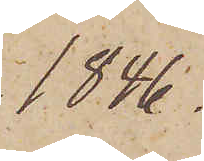1846.
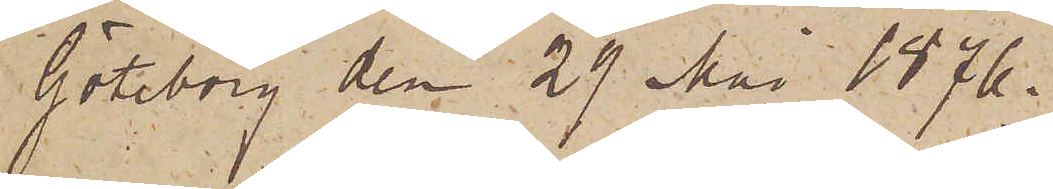Göteborg den 29 Maj 1876.
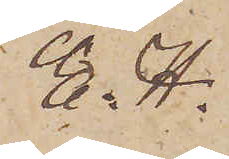E. H.
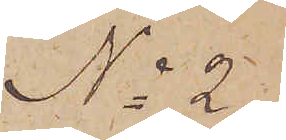No 2.
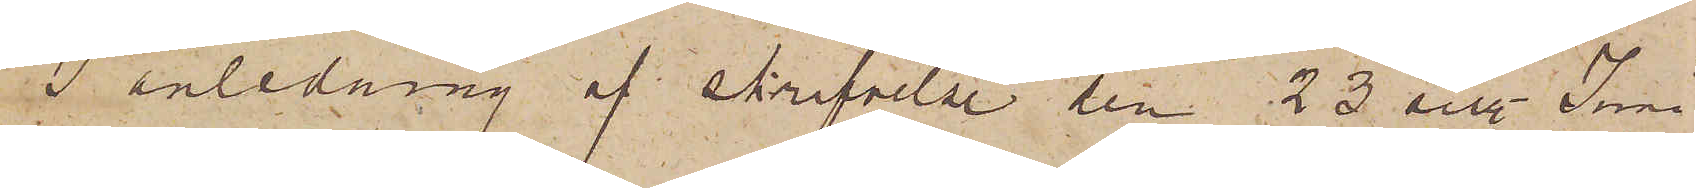I anledning af skrifvelse den 23 sist Juni
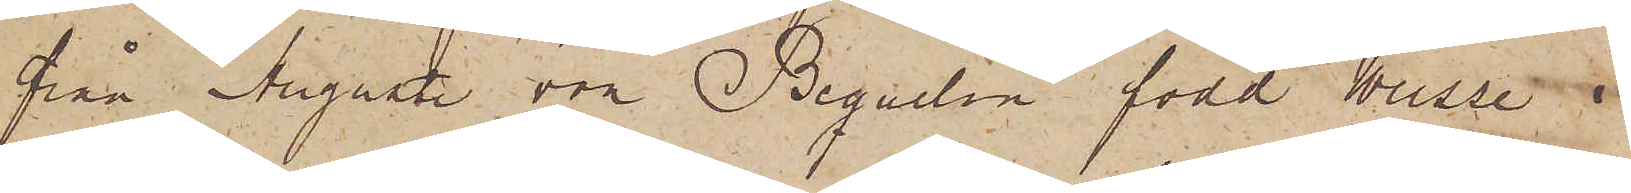från Auguste och Bequelin född Weisse i
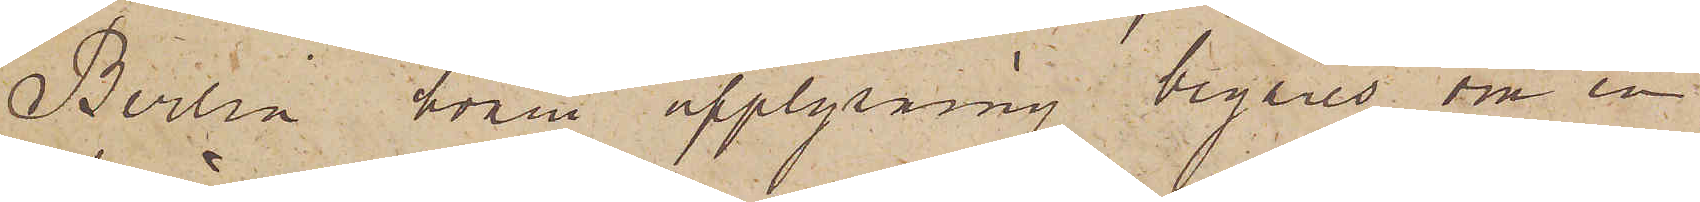Berlin hvari upplysning begäres om en
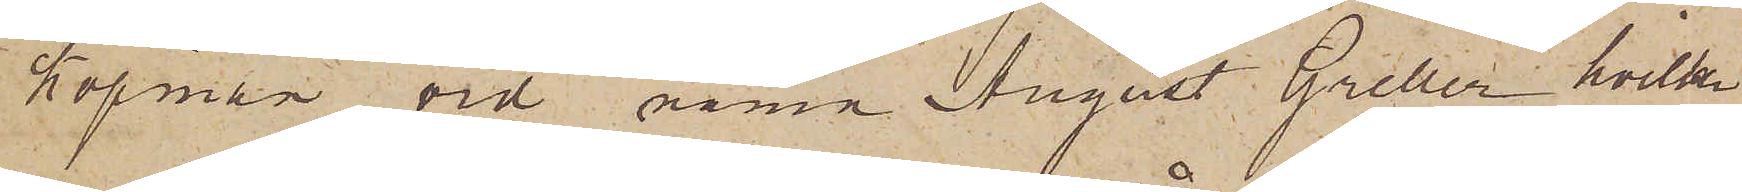köpman vid namn August Greller hvilken
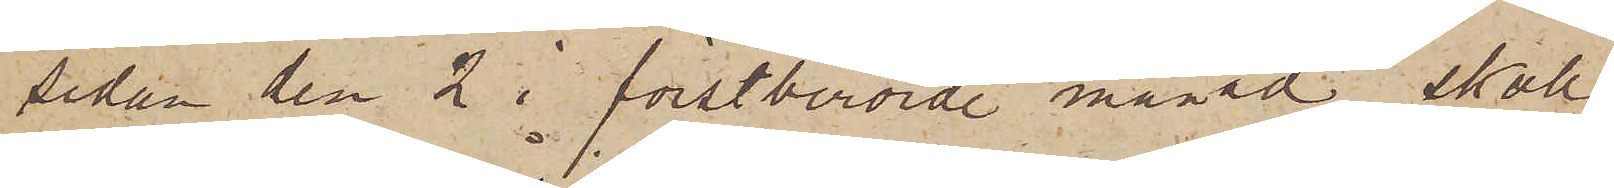sedan den 2 i förstberörde månad skall
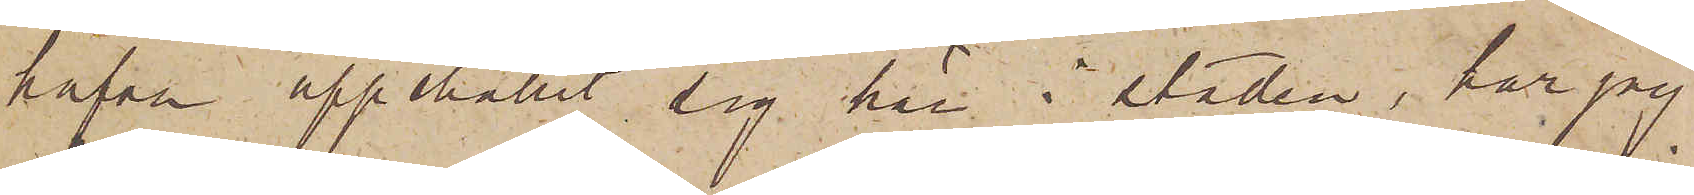hafva uppehållit sig här i staden, har jag
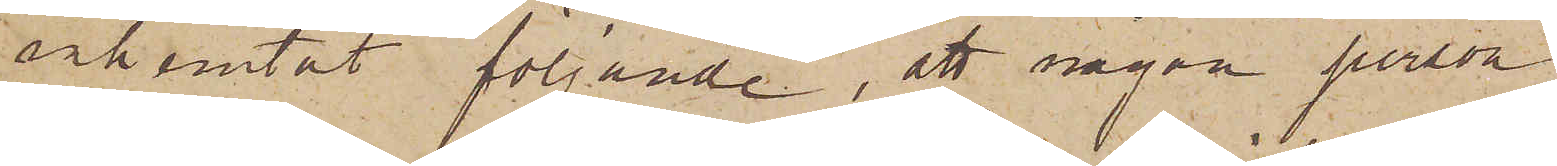inhemtat följande, att någon person
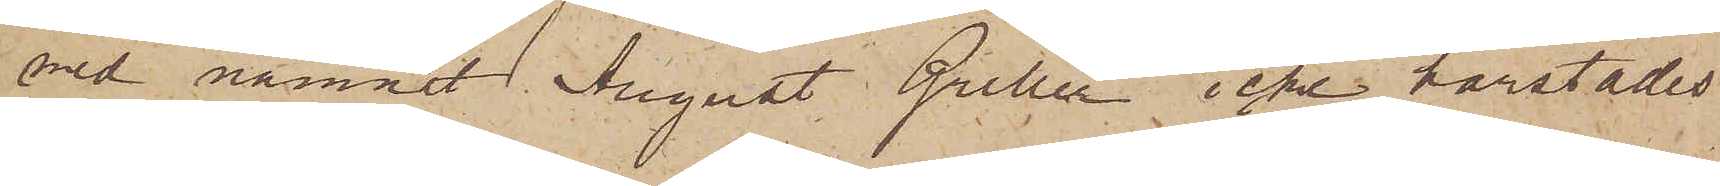vid namnet August Greller icke härstädes
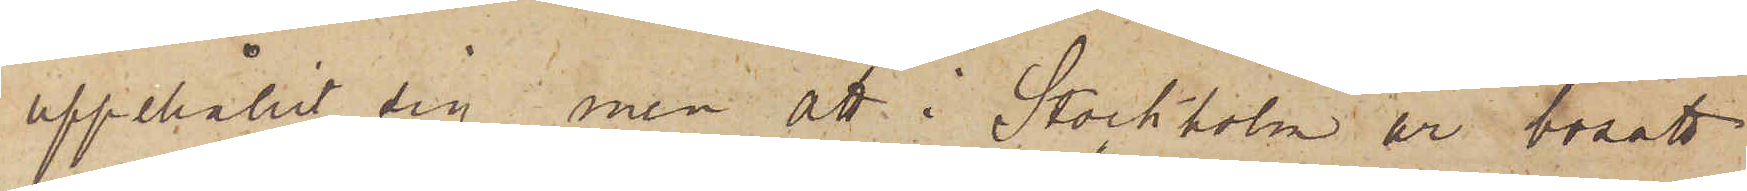uppehållit sig, men att i Stockholm är bosatt
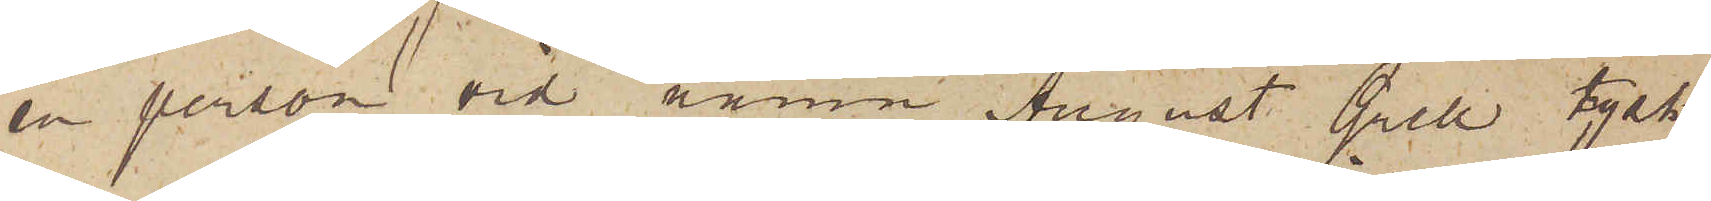en person vid namn August Grell tysk
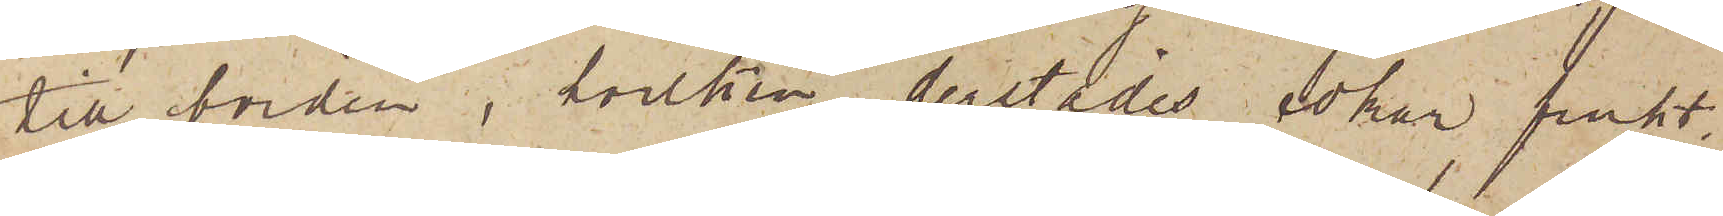till börden, hvilken derstädes söker frukt,
